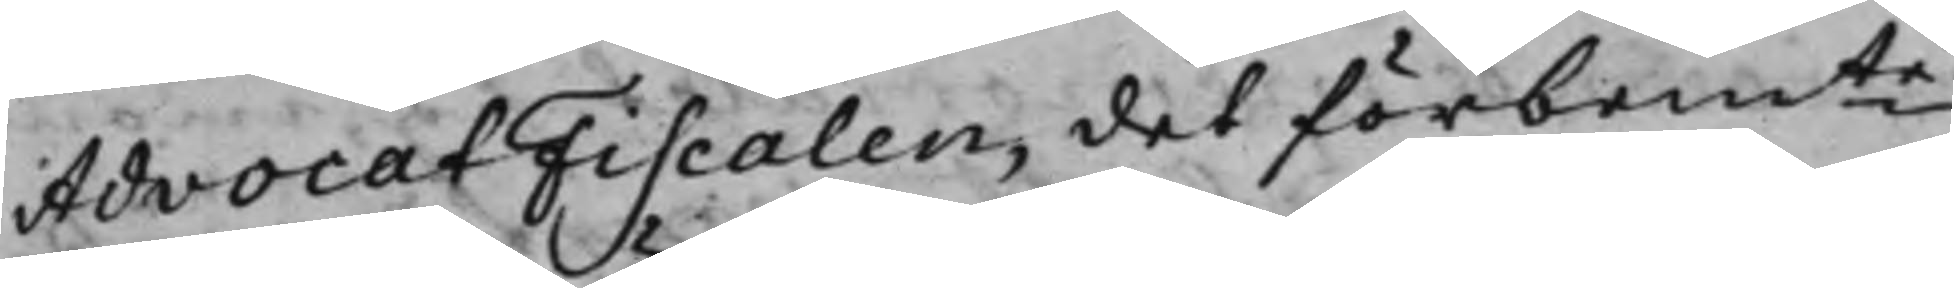AdvocatFiscalen, det förbemte
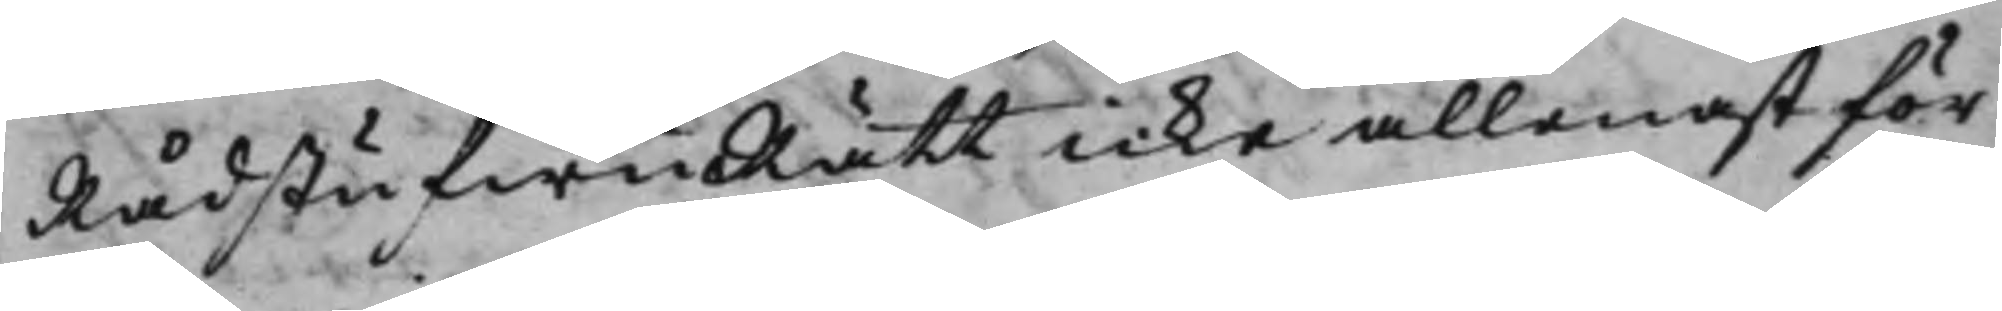RådstufwuRätt icke allenast för
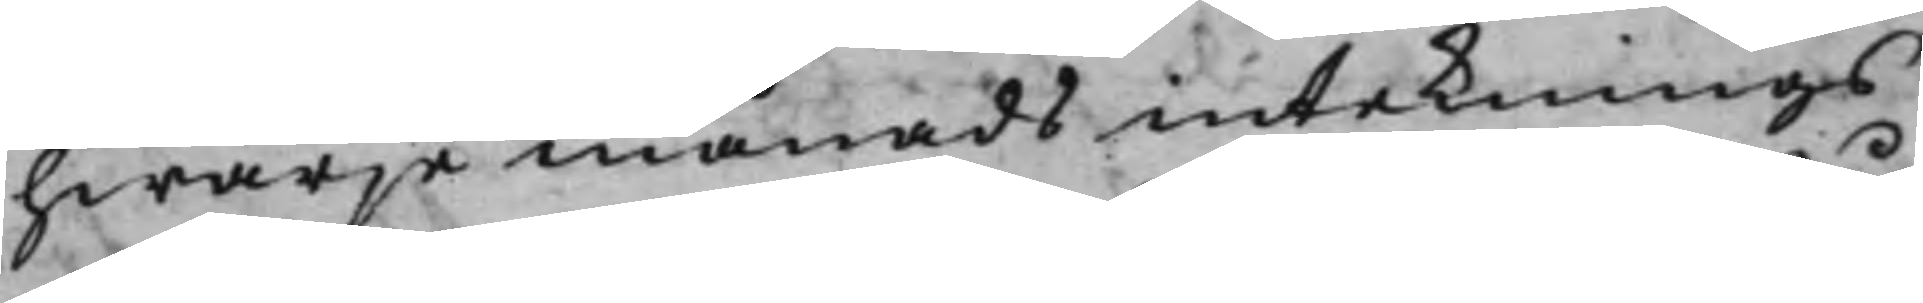hwarje månads intecknings
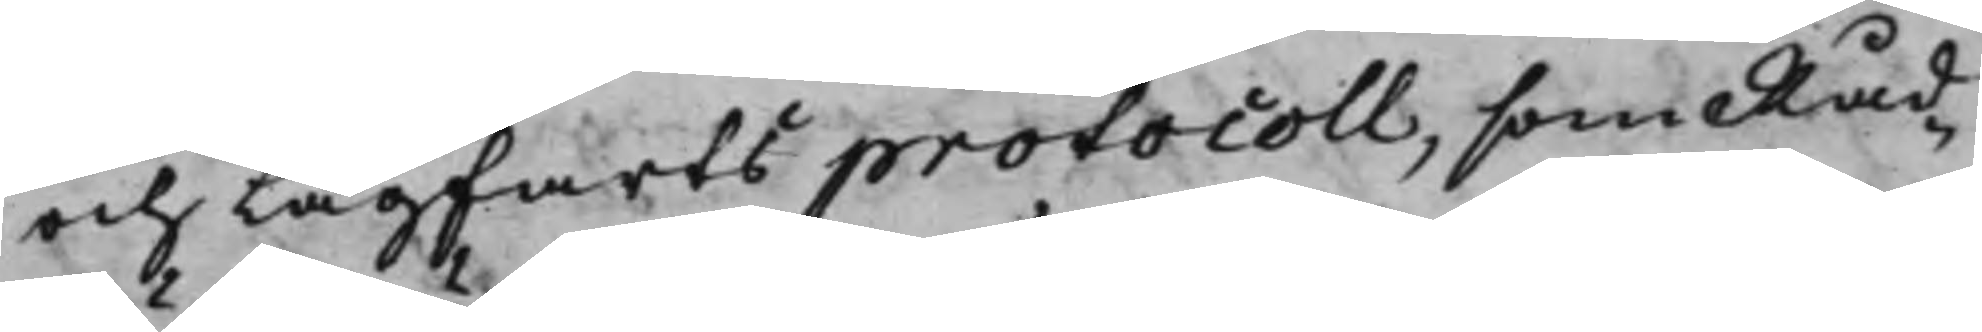och Lagfartsprotocoll, som Råd¬
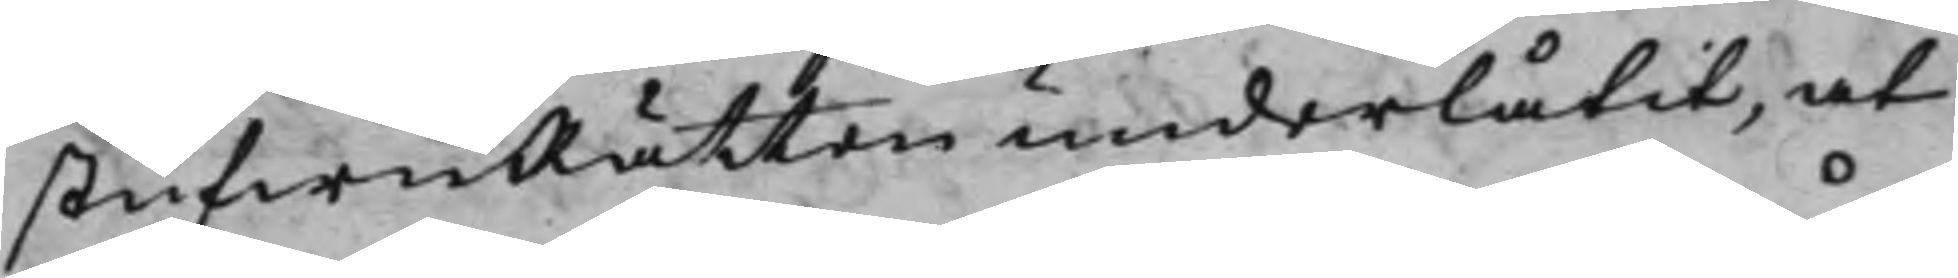stufwuRätten underlåtit, at
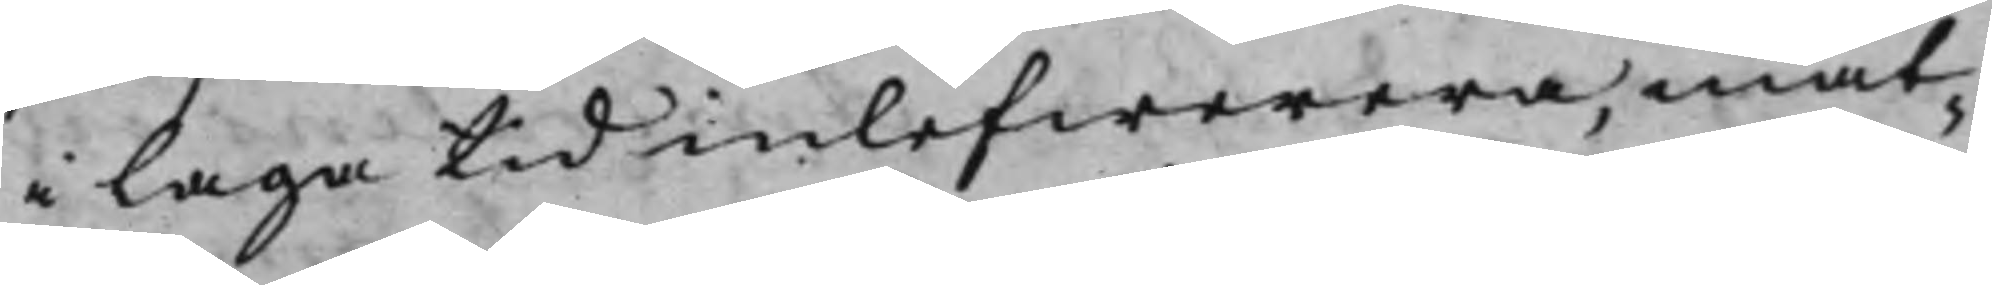i laga tid inlefwerera, måt¬
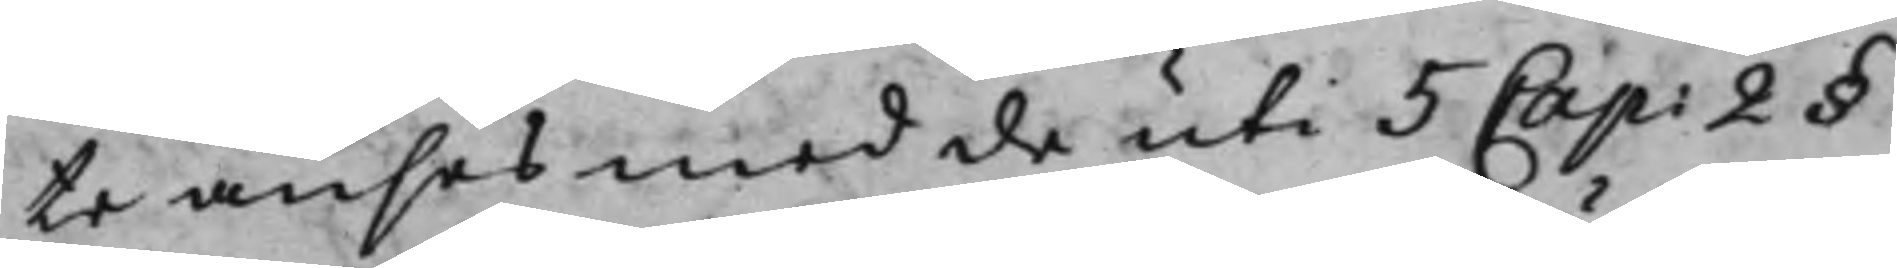te anses med de uti 5 Cap: 2 §
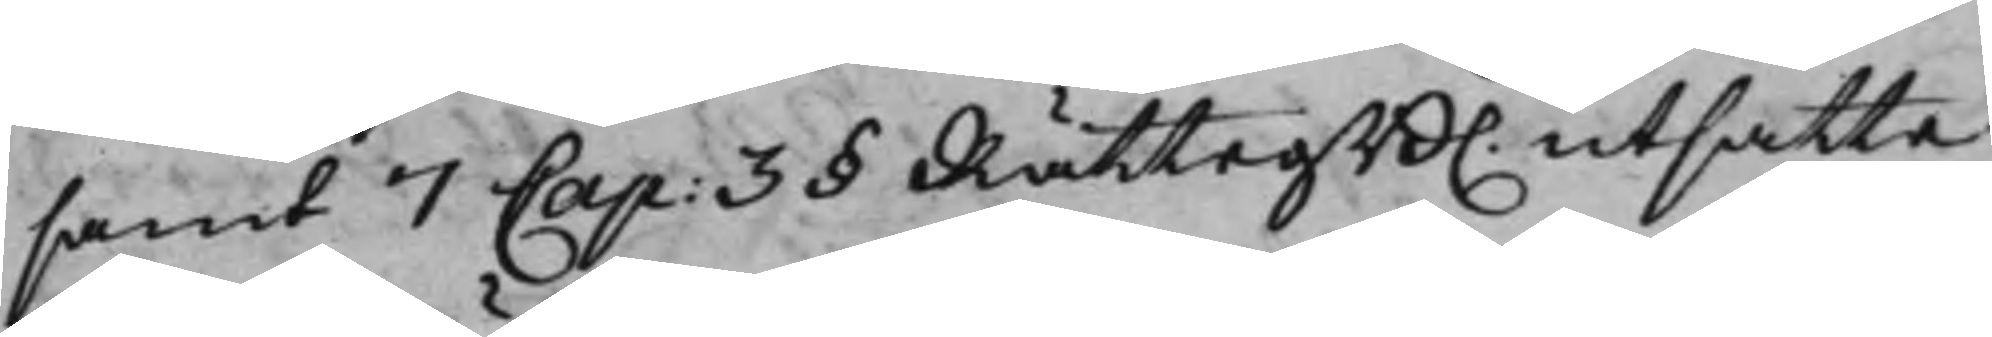samt 7 Cap: 3 § RättegB. utsatte
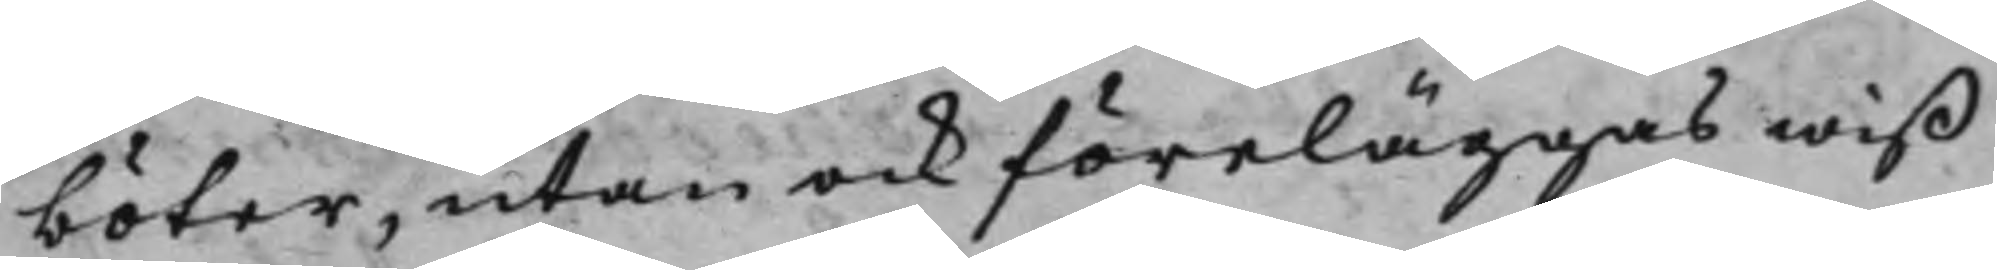böter, utan ock föreläggas wiß
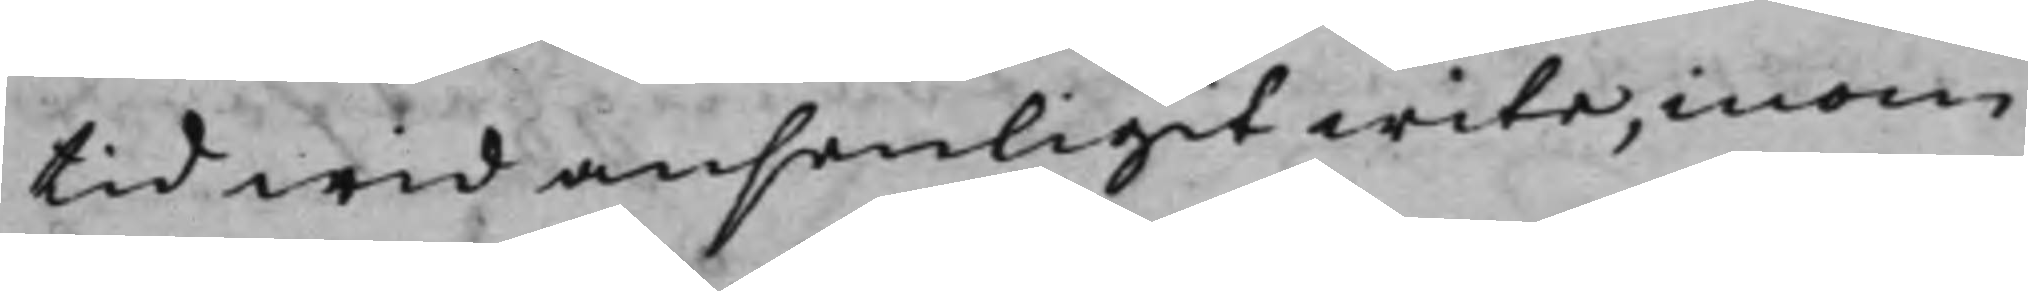tid wid anseligit wite, inom
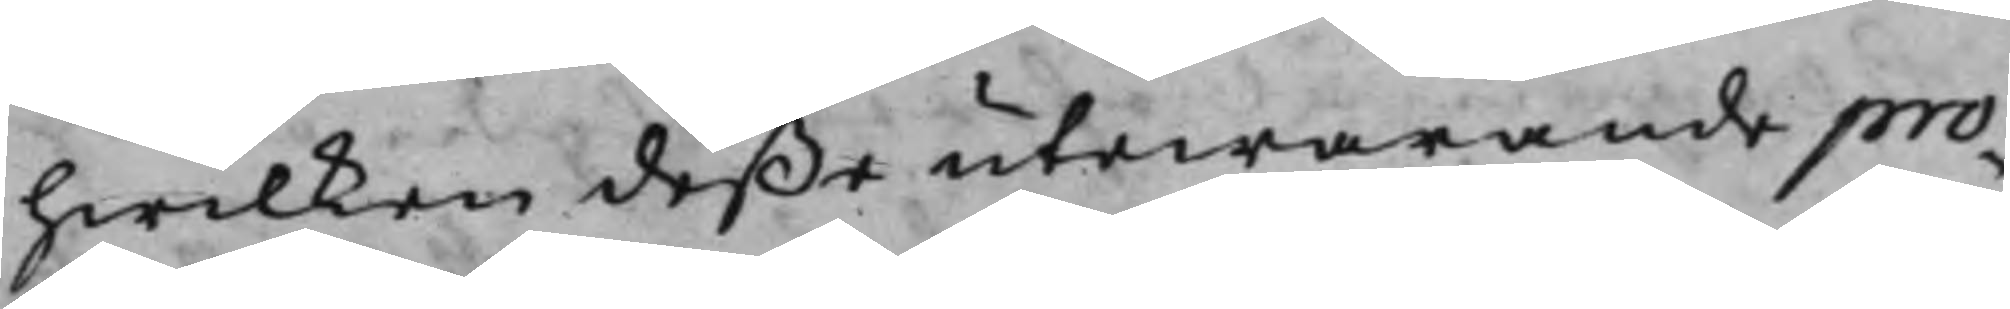hwilken deße utwarande pro¬
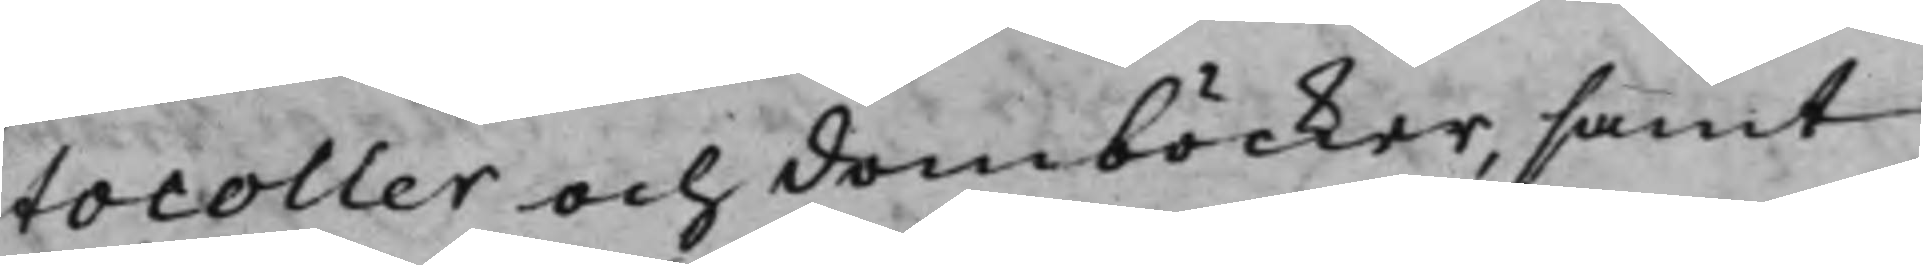tocoller och domböcker, samt
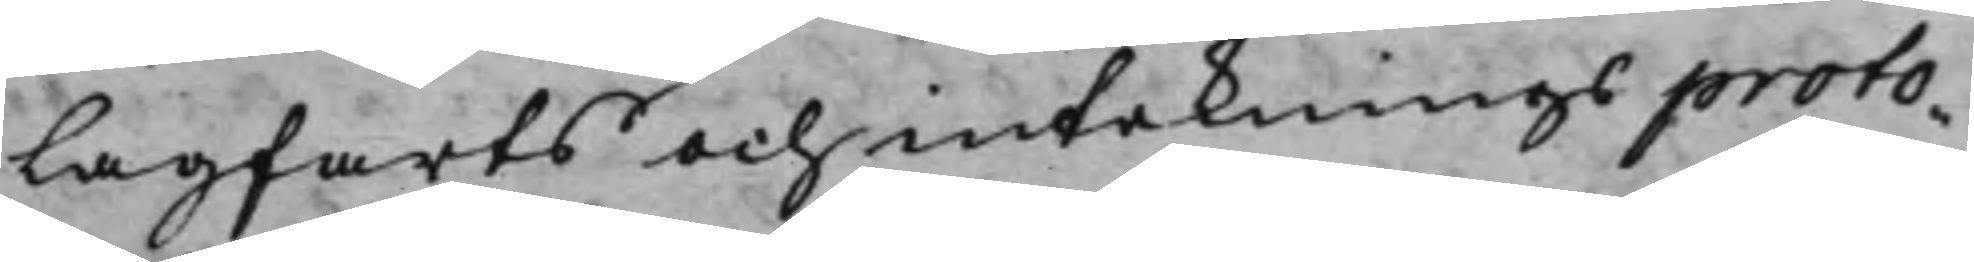Lagfarts och intecknings proto¬
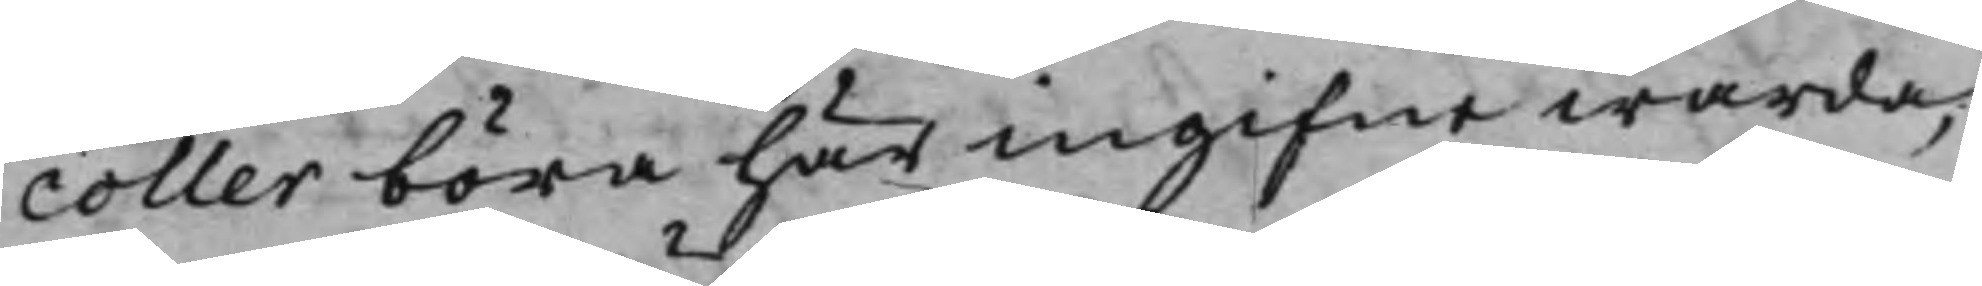coller böra här ingifne warda,
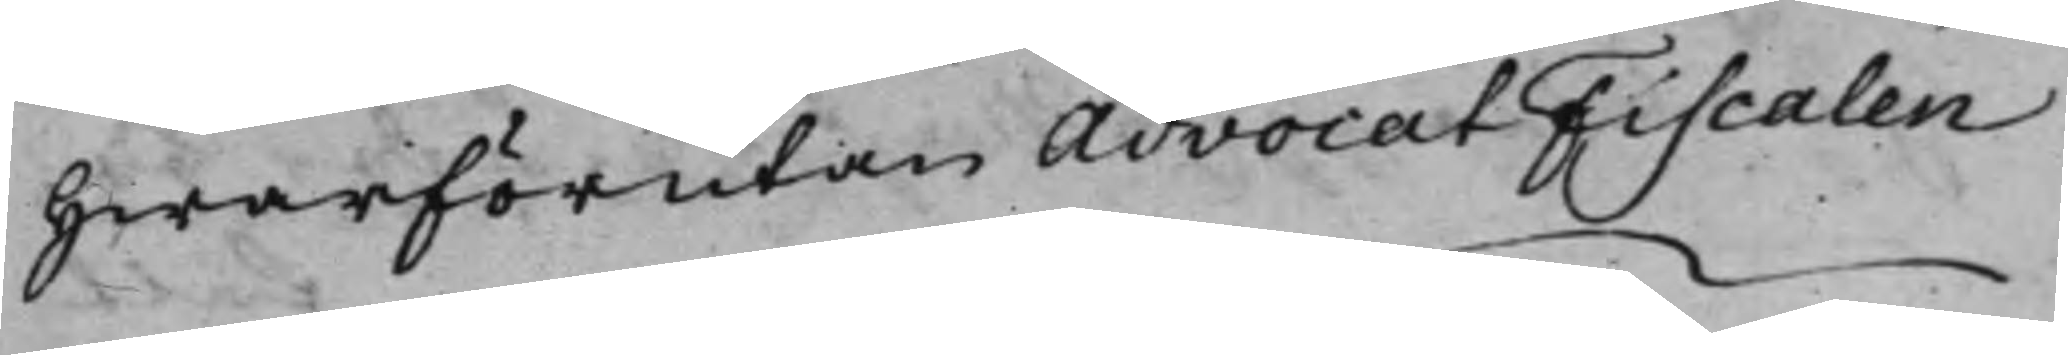hwarförutan AdvocatFiscalen
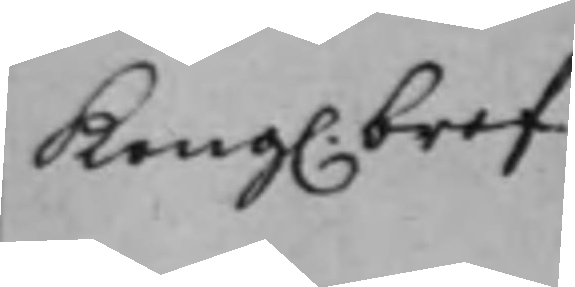Kong. bref
